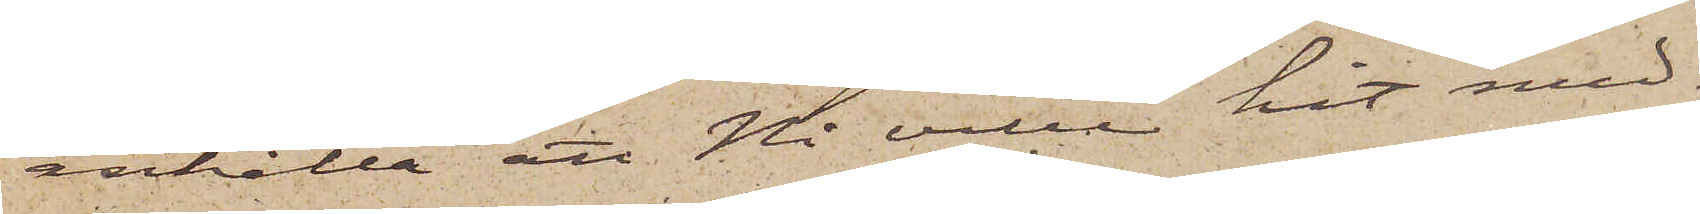anhålla att Ni ville hit med¬
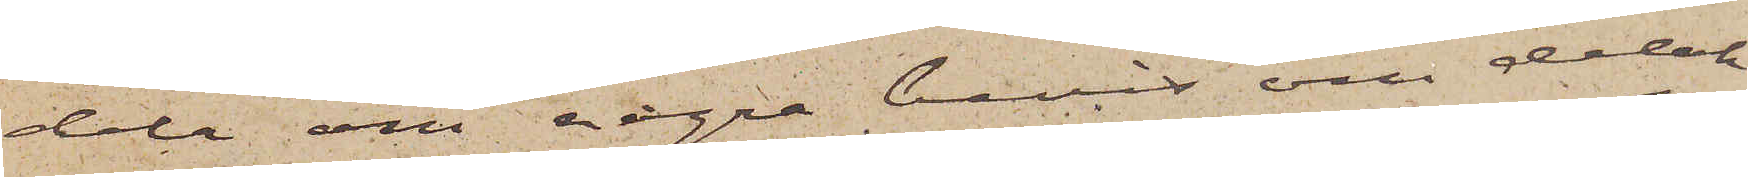dela om några bevis om delak¬
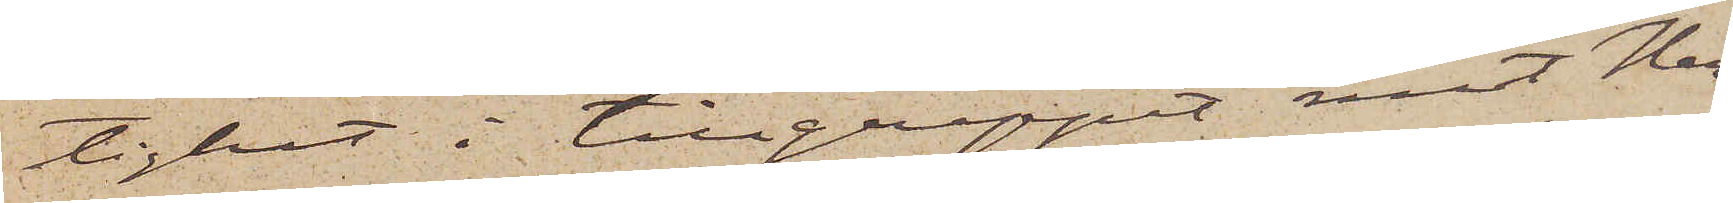tighet i tillgreppet mot Her¬
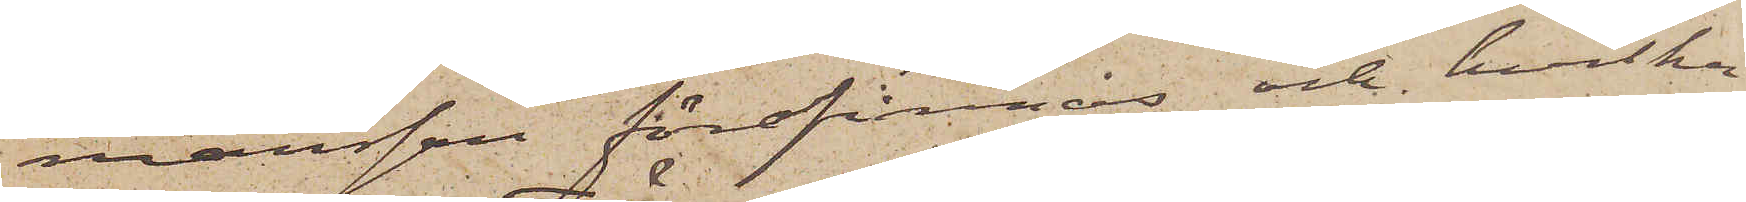mansson förefinnas och hvilka
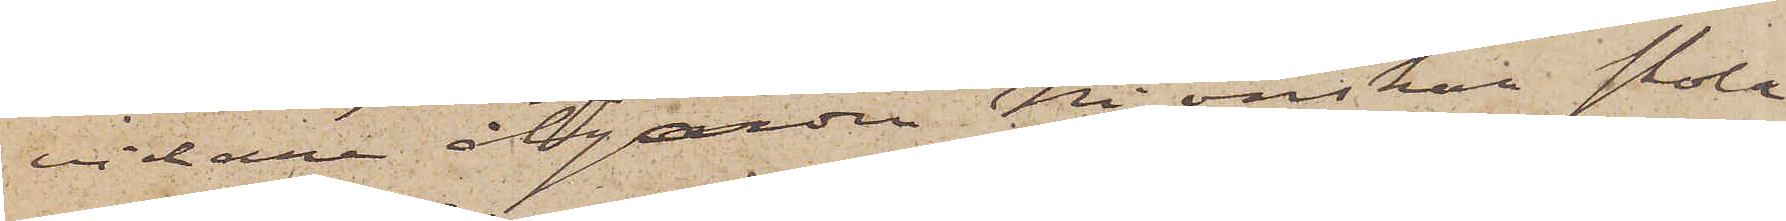vidare åtgärder Ni önskar skola
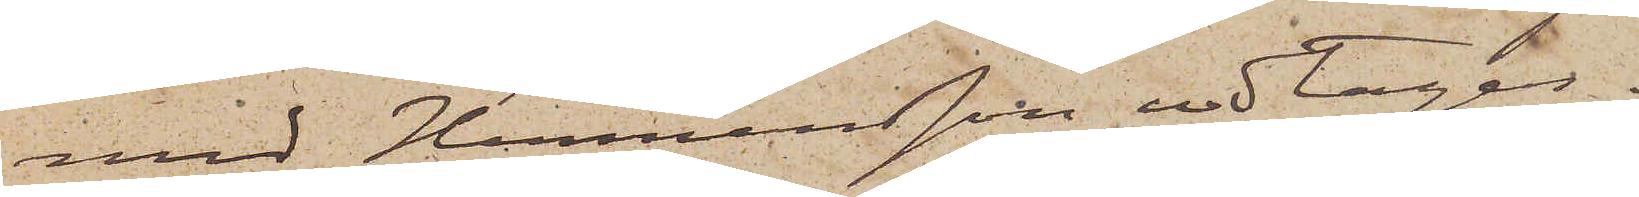med Hermansson vidtagas.
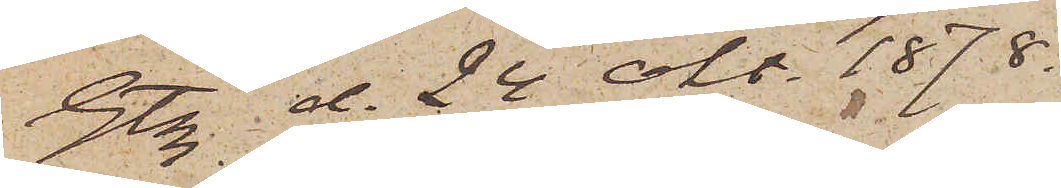Gtbg d. 24 Okt. 1878.
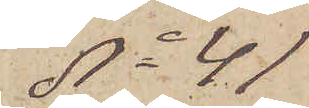No 41
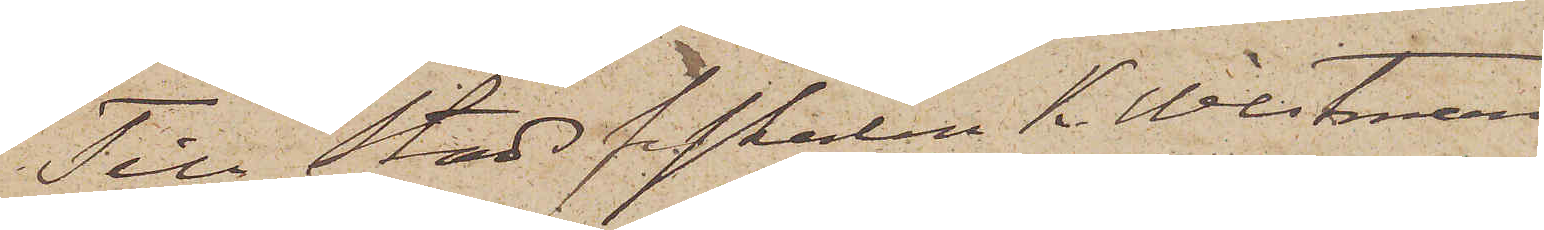Till stadsfiskarlen K. Westman
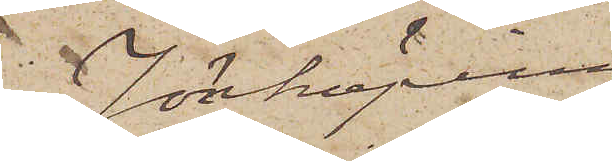Jönköping
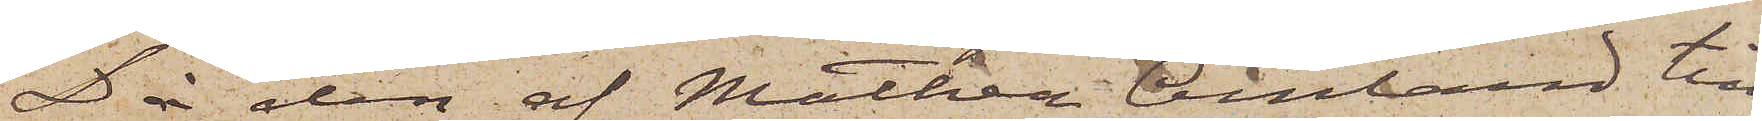Då den af Mathea Amland till
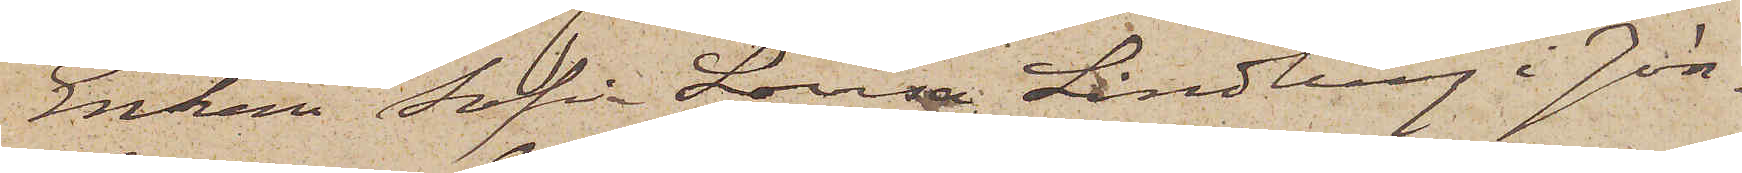Enkan Sofia Lovisa Lindberg i Jön¬
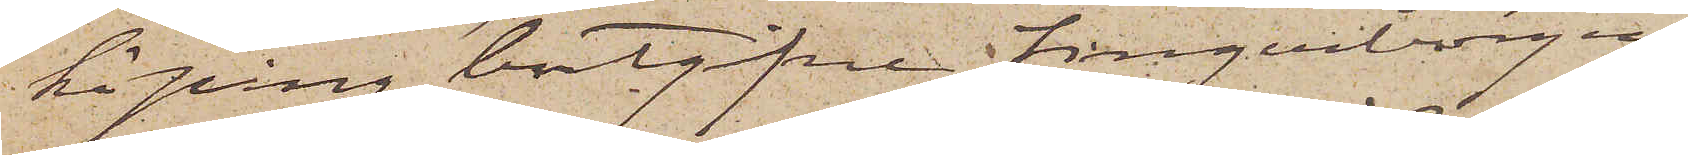köping bortgifne fingerborgen
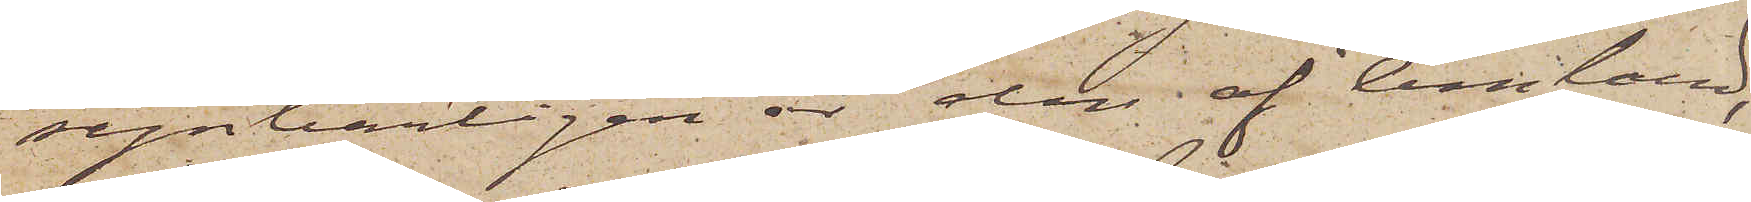synbarligen är den af Amland,
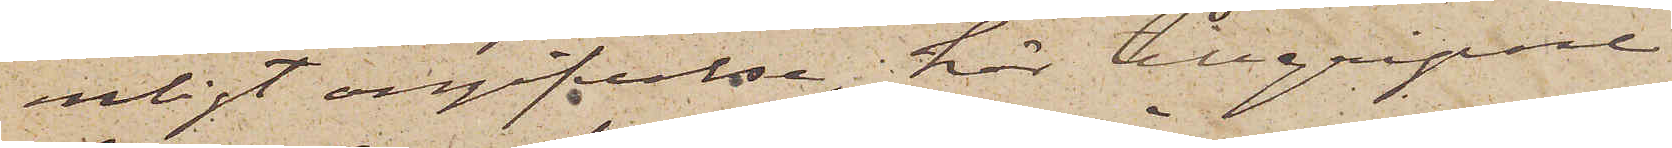enligt angifvelse, här tillgripne,
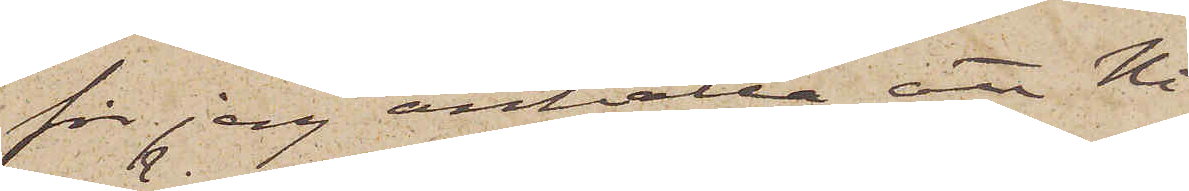får jag anhålla att Ni
